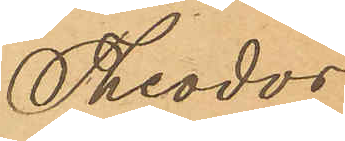Theodor
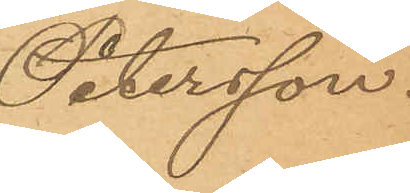Petersson.
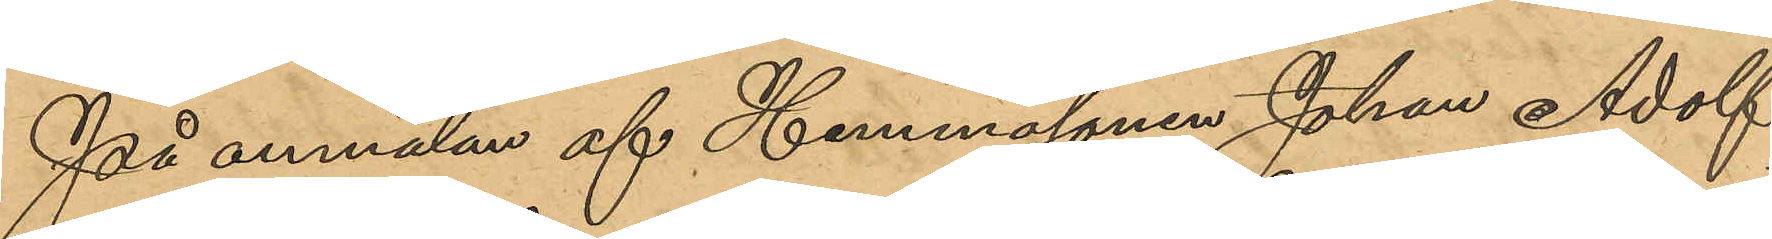På anmälan af Hemmasonen Johan Adolf
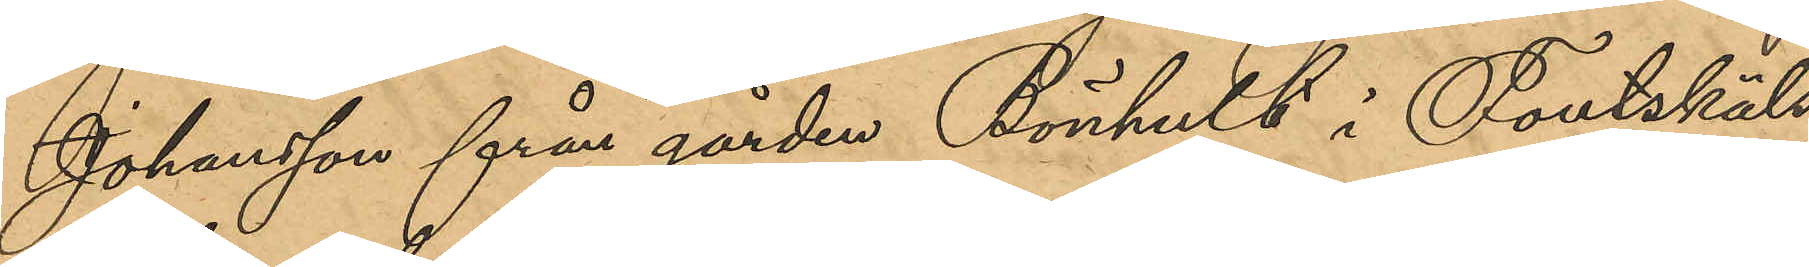Johansson från gården Bönhult i Foutskäls
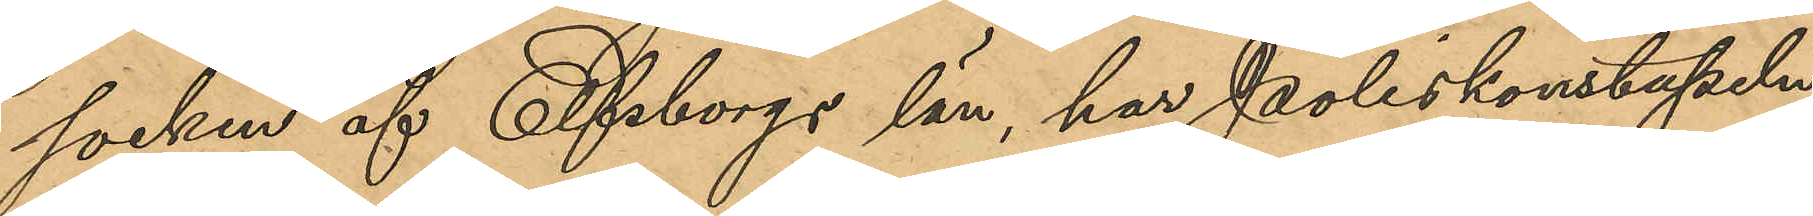socken af Elfsborgs län, har Poliskonstapeln
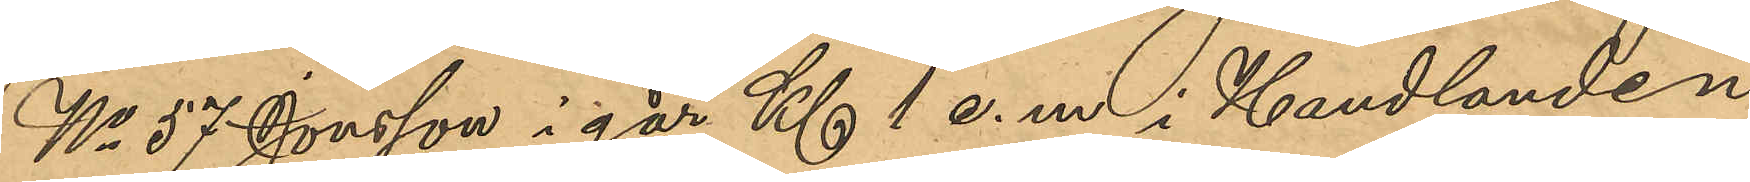No 57 Jonsson i går Kl 1 e.m i Handlanden
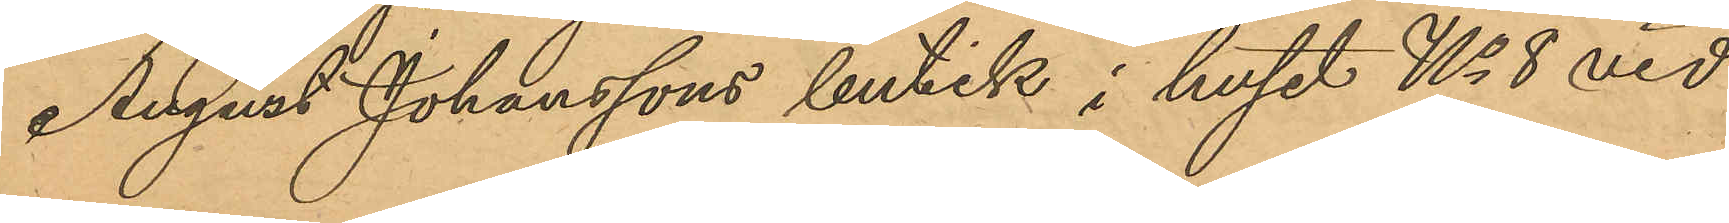August Johanssons butik i huset No 8 vid
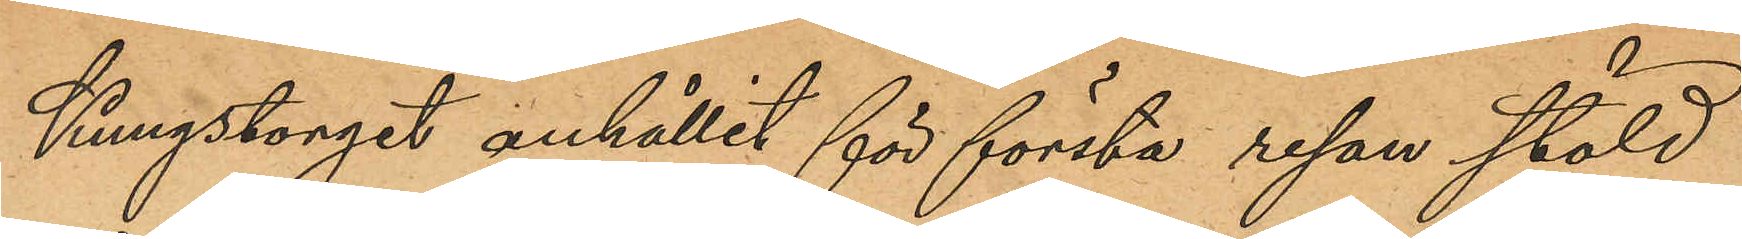Kungstorget anhållit för första resan stöld
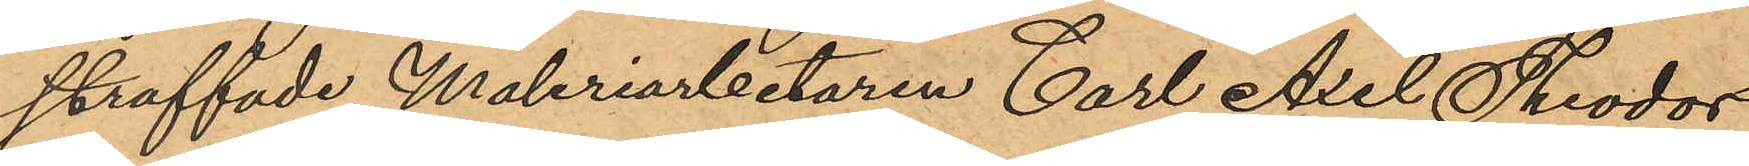straffade Maleriarbetaren Carl Axel Theodor
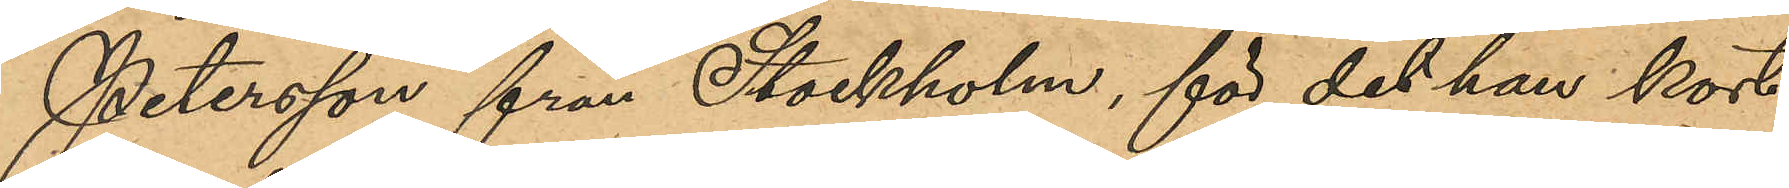Petersson från Stockholm, för det han kort
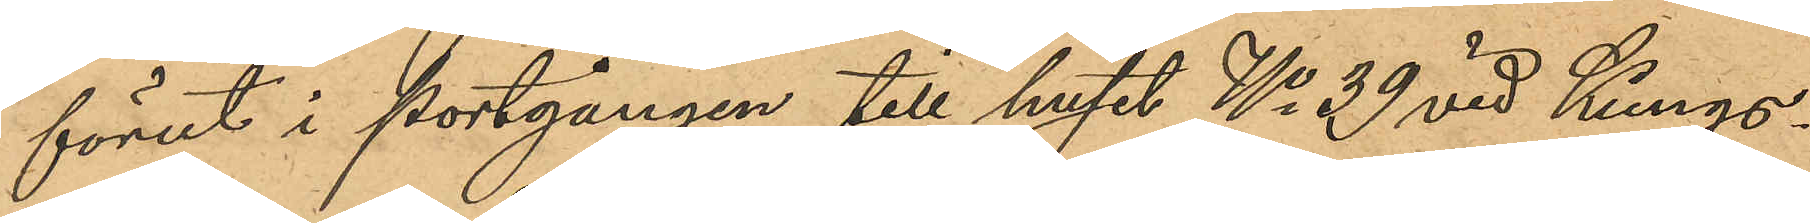förut i portgången till huset No 39 vid Kungs¬
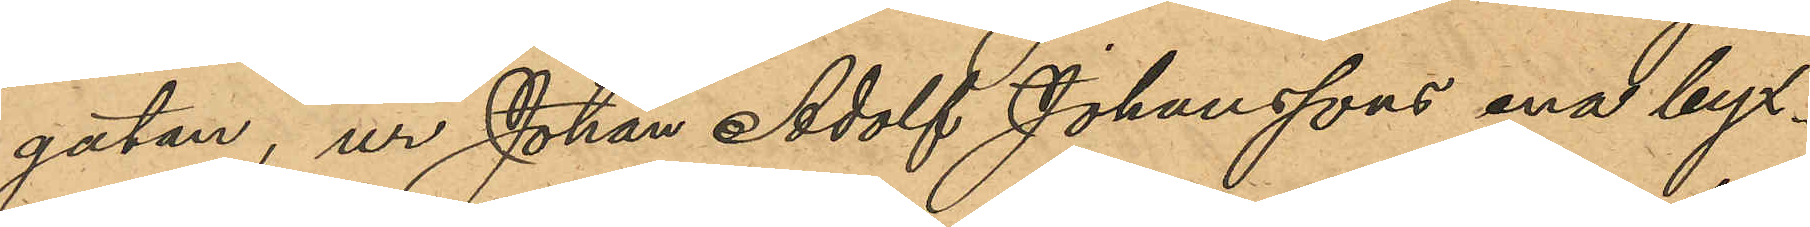gatan, ur Johan Adolf Johanssons ena byx¬
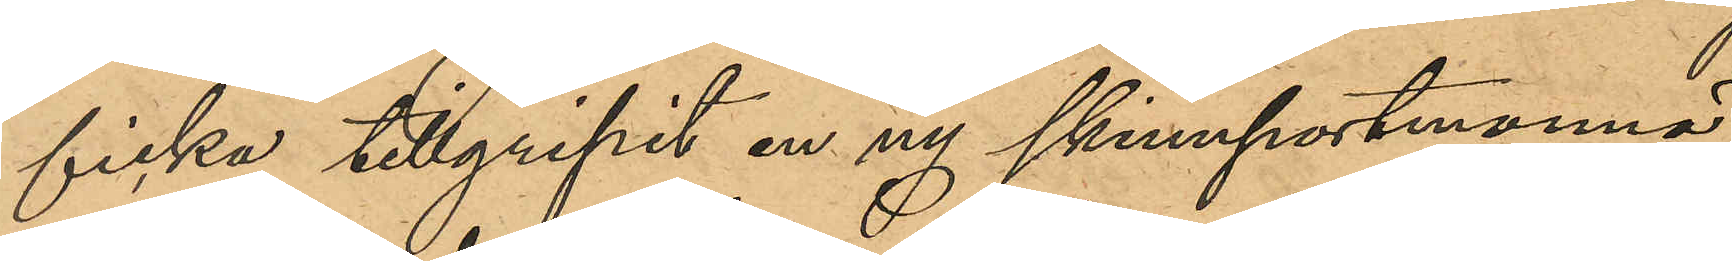ficka tillgripit en ny skinnportmonnä,
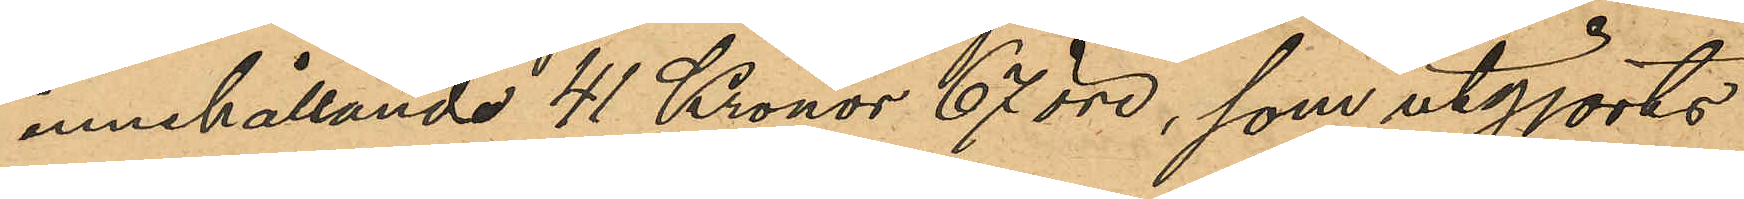innehållande 41 Kronor 67 öre, som utgjorts
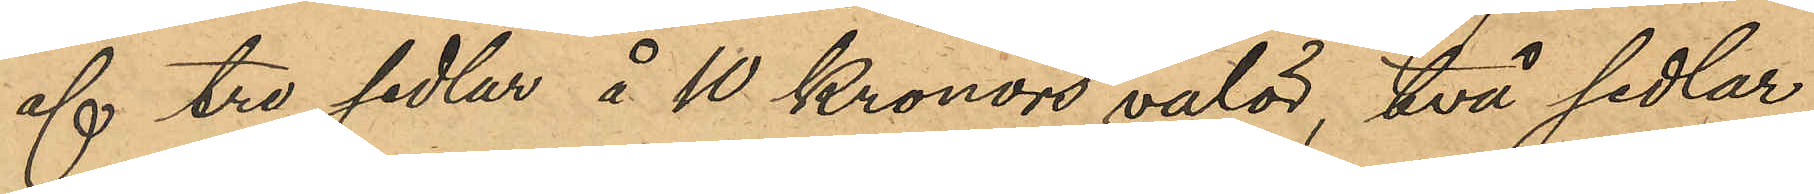af tre sedlar å 10 Kronors valör, två sedlar
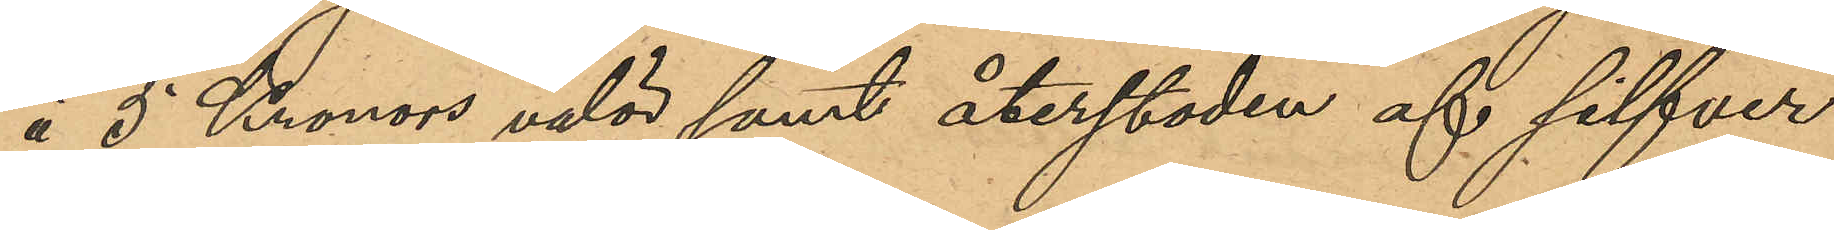å 5 Kronors valör samt återstoden af silfver 
